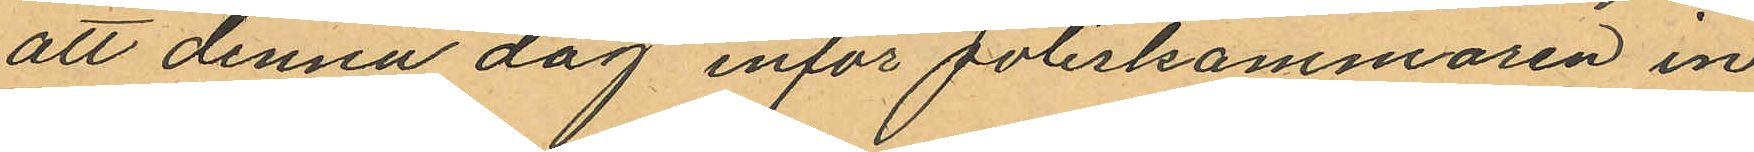att denna dag inför Poliskammaren in¬
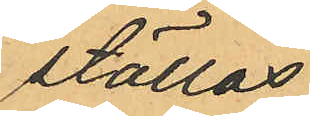ställas.
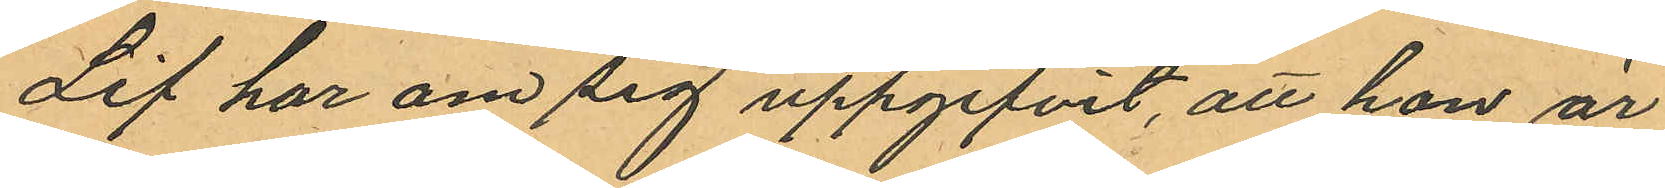Lif har om sig uppgifvit, att hon är
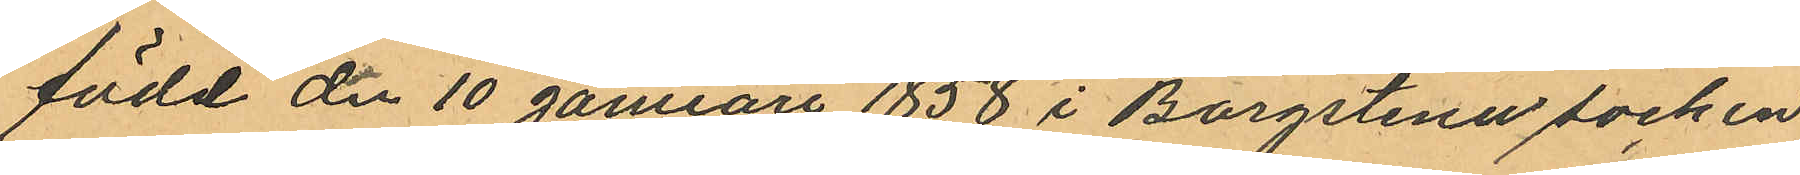född de 10 januari 1858 i Borgstena socken
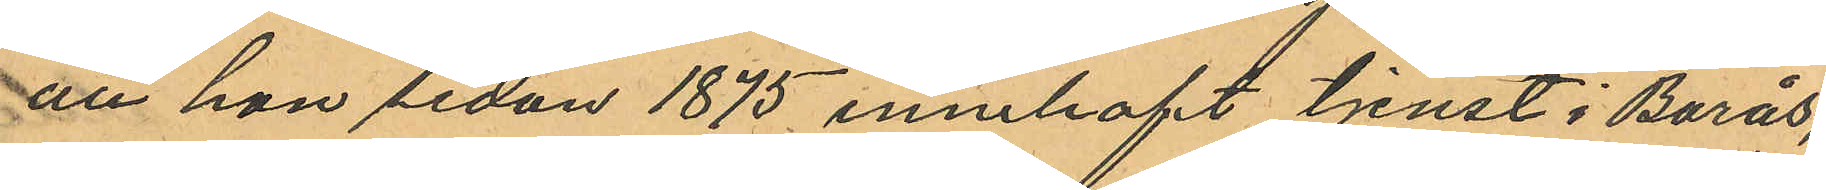att hon sedan 1875 innehaft tjenst i Borås,
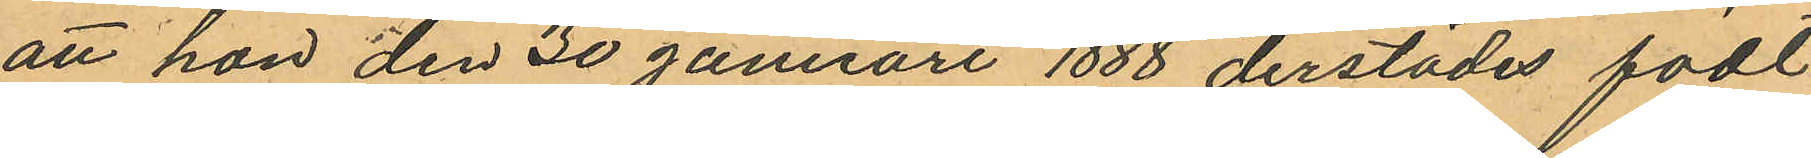att hon den 30 Januari 1888 derstädes födt
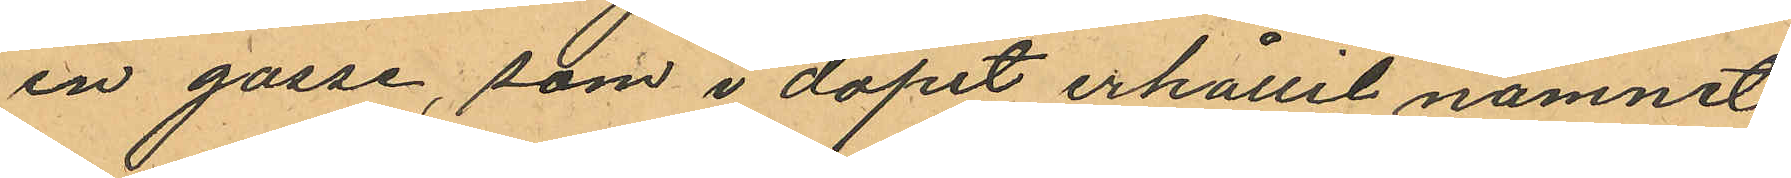en gosse, som i dopet erhållit namnet
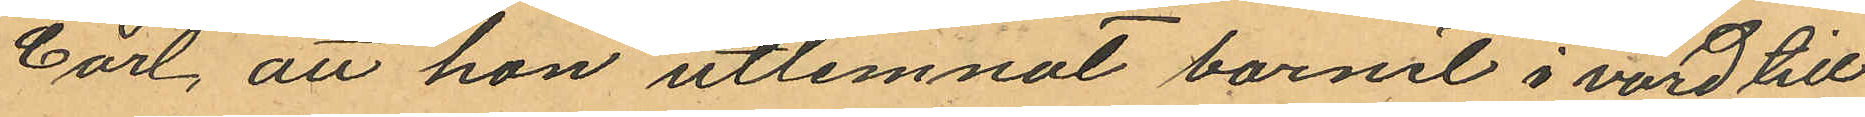Carl, att hon utlemnat barnet i vård till
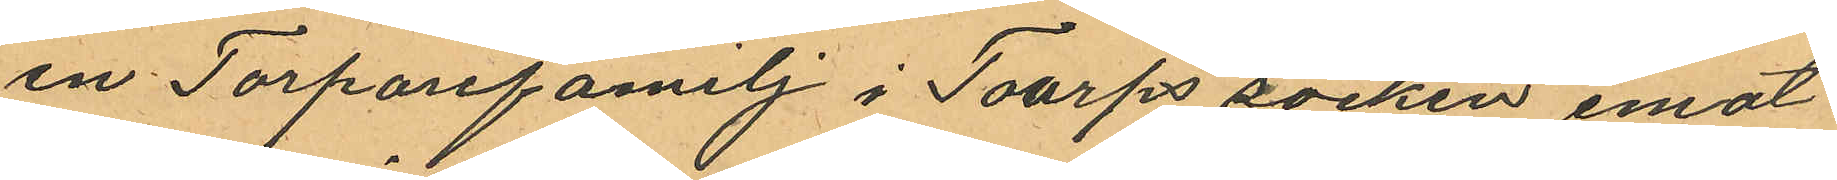en Torparefamilj i Toarps socken emot
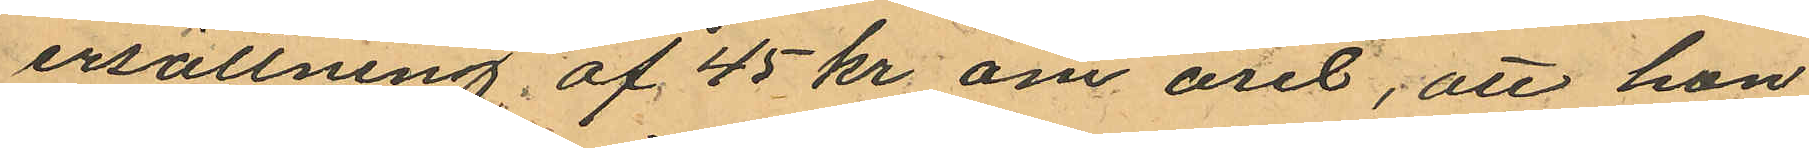ersättning af 45 kr om året, att hon
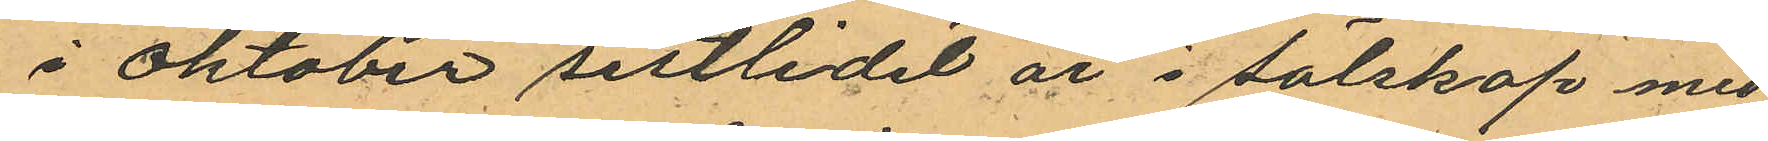i Oktober sistlidet år i sälskap med
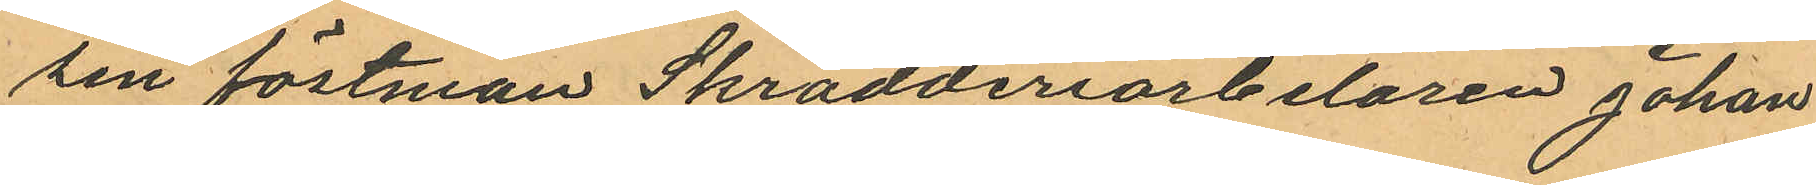sin fästman Skrädderiarbetaren Johan
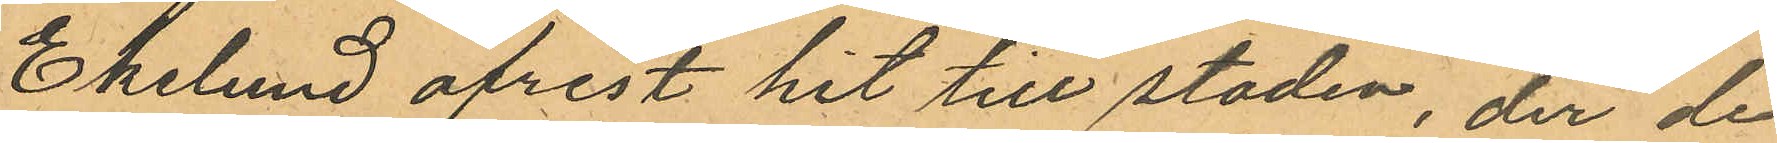Ekelund afrest hit till staden, der de
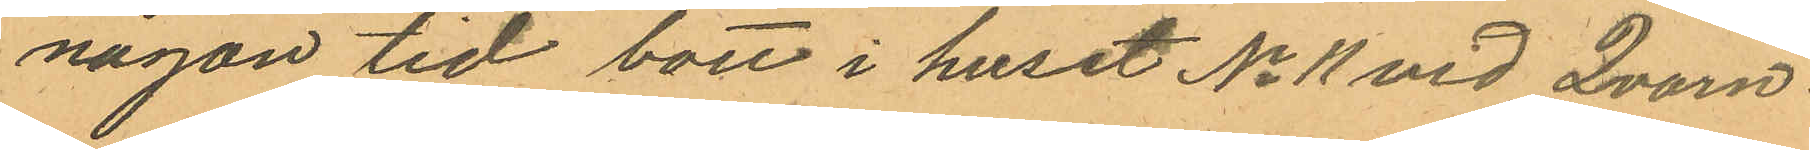någon tid bott i huset No 11 vid Qvarn¬
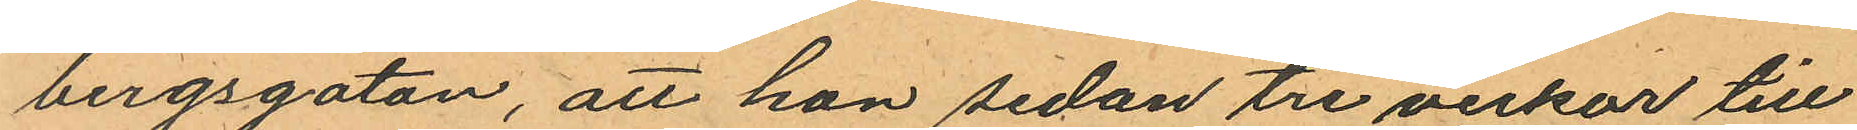bergsgatan, att hon sedan tre veckor till
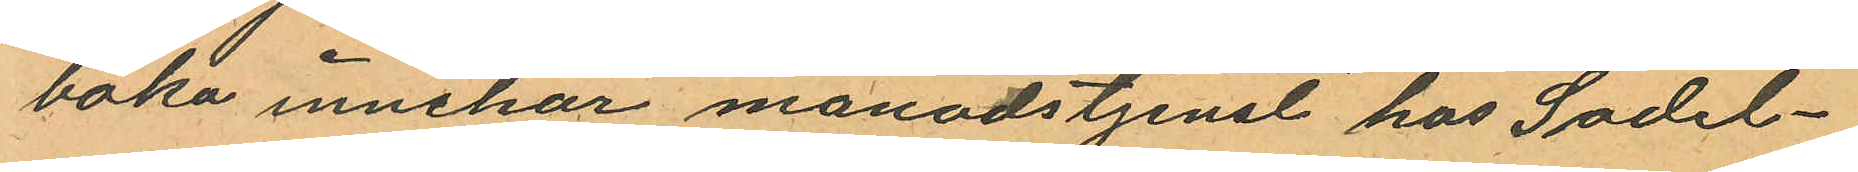baka innehar månadstjenst hos Sadel¬
